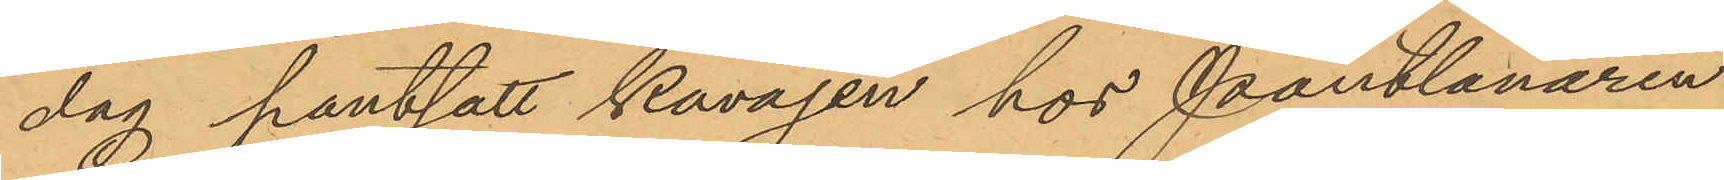dag pantsatt kavajen hos Pantlånaren
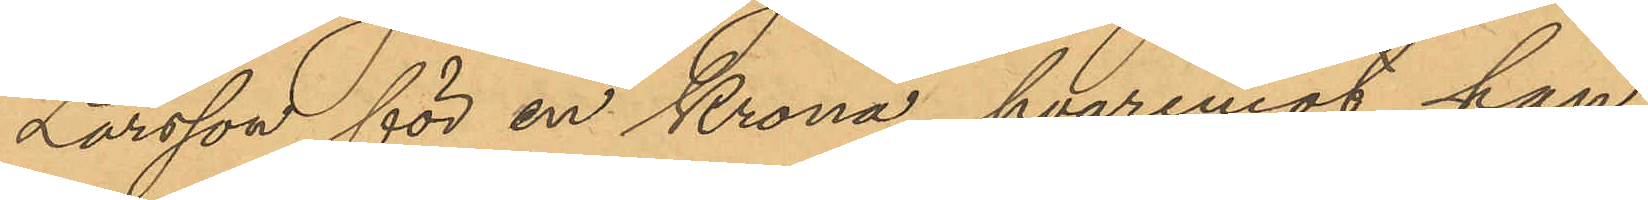Larsson för en Krona, hvaremot han
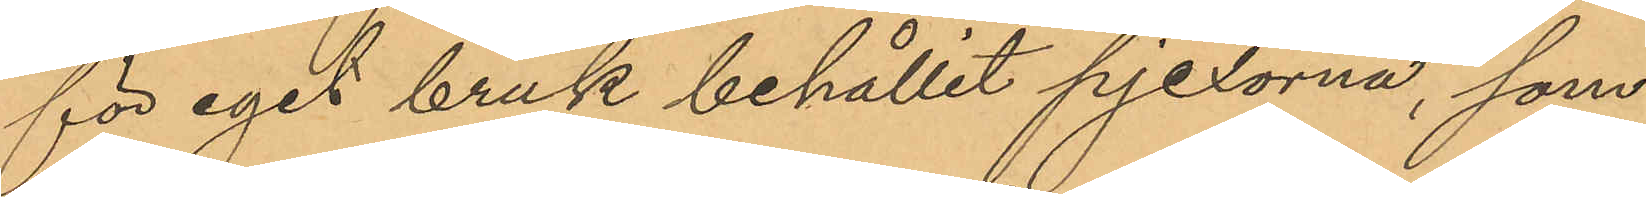för eget bruk behållit pjexorna, som
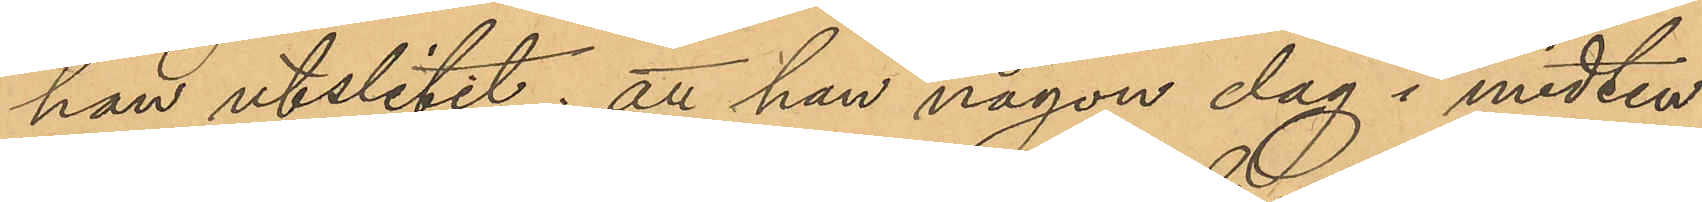han utslitet; att han någon dag i midten
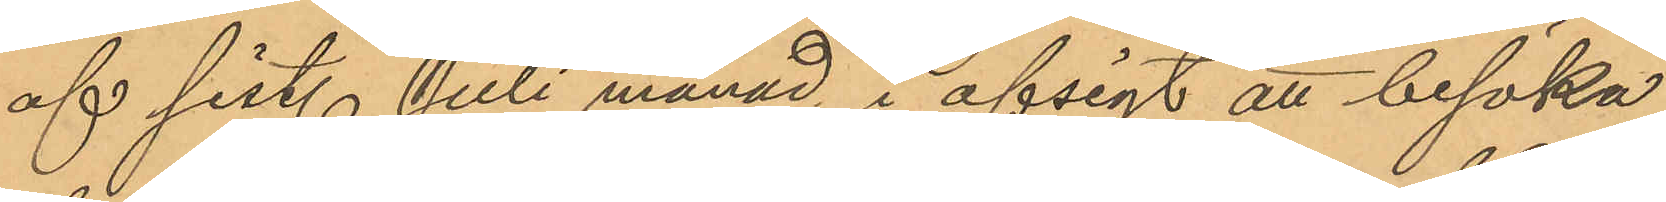af sist. Juli månad i afsigt att besöka
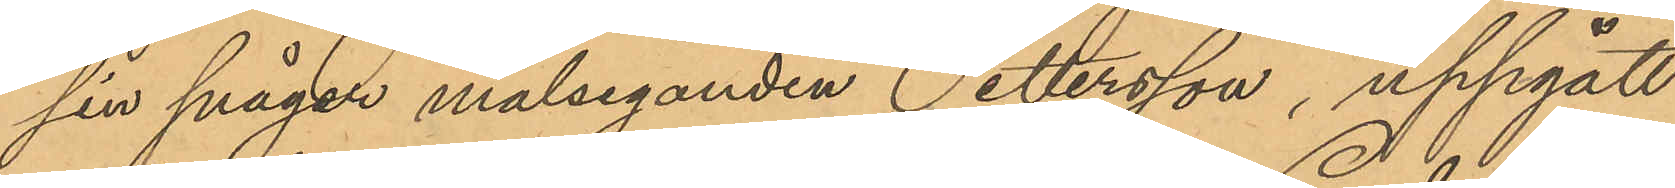sin svåger målseganden Pettersson, uppgått
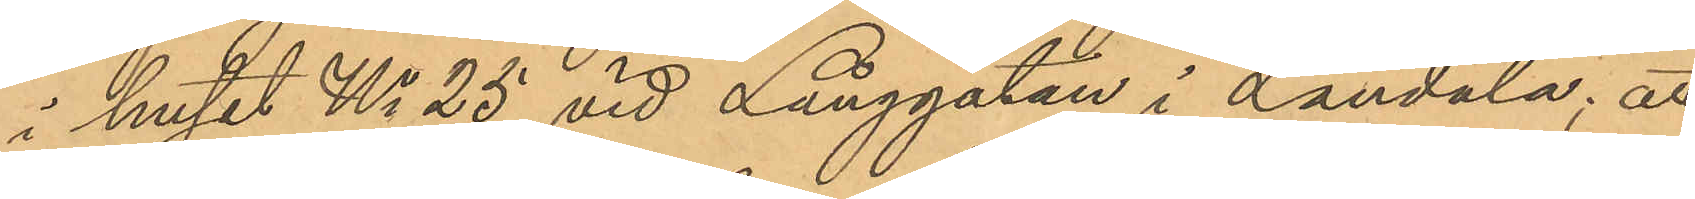i huset No 25 vid Långgatan i Landala; att
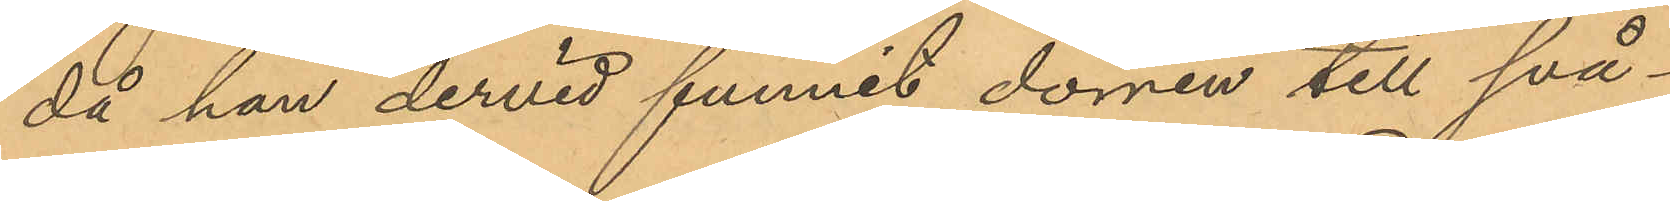då han dervid funnit dörren till svå¬
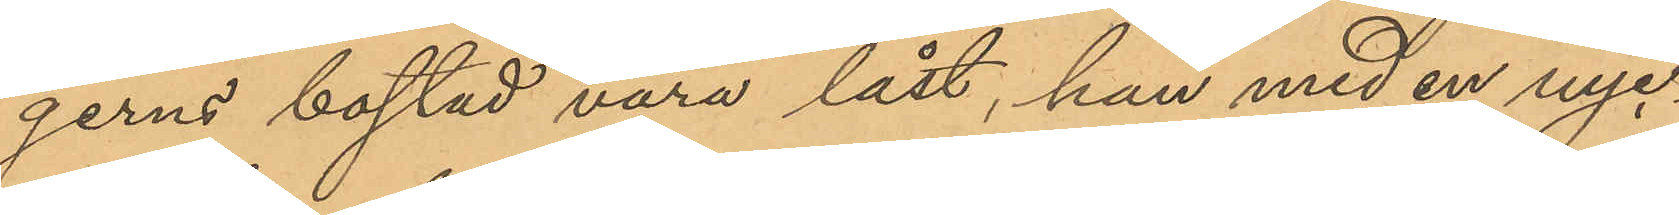gerns bostad vara låst, han med en nyc¬
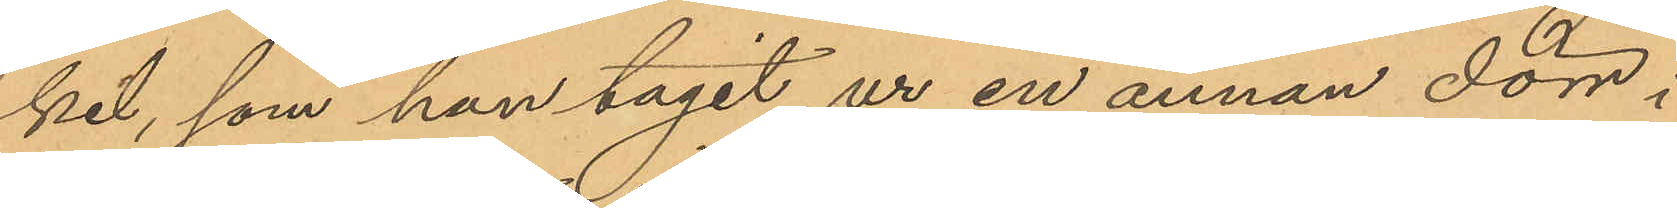kel, som han tagit ur en annan dörr i
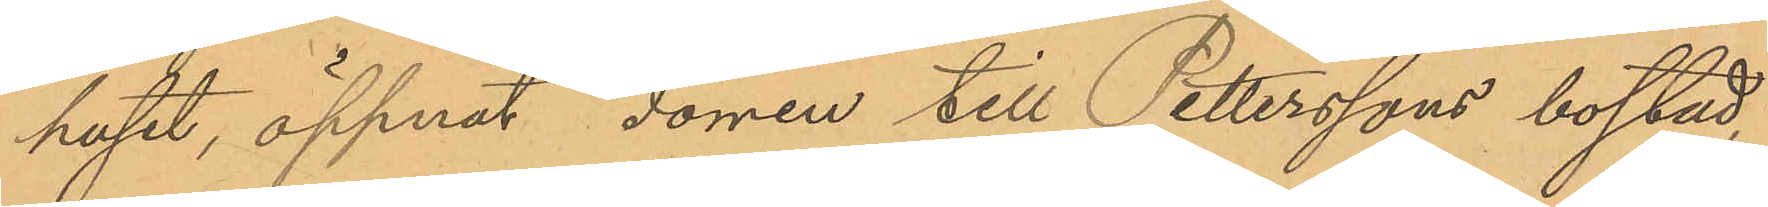huset, öppnat dörren till Petterssons bostad,
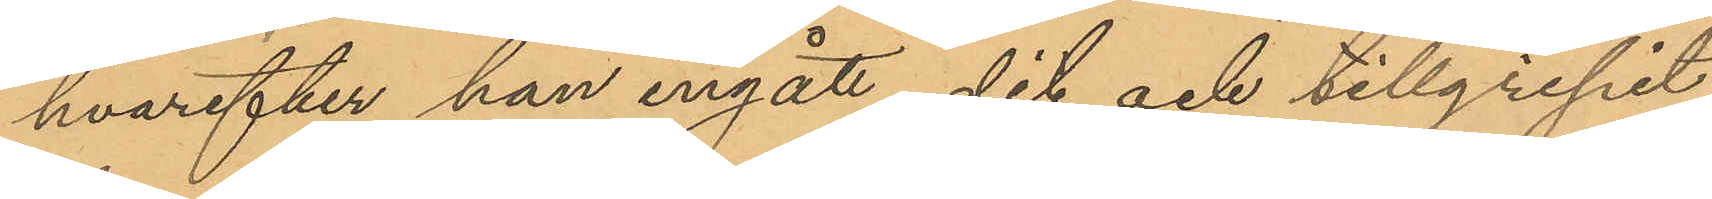hvarefter han ingått dit och tillgripit
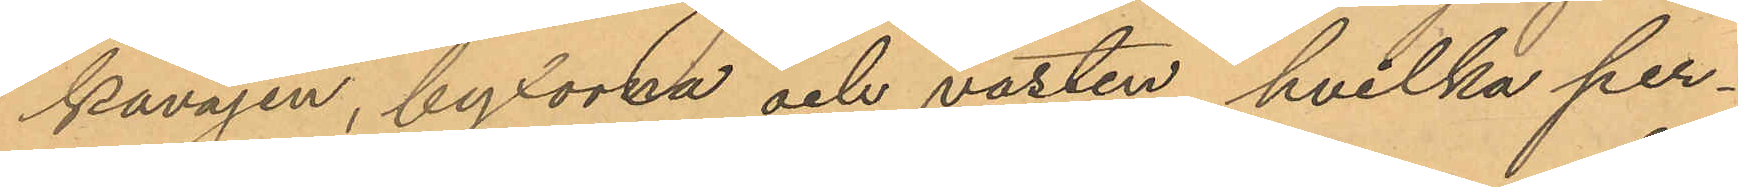kavajen, byxorna och västen, hvilka per¬
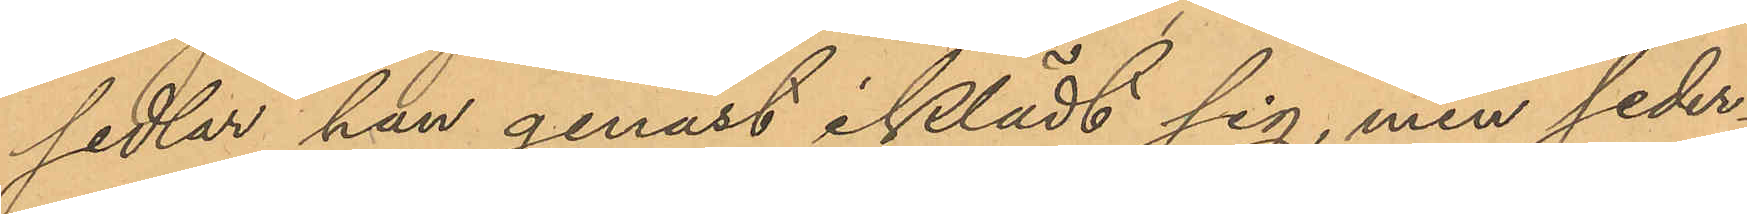sedlar han genast iklädt sig, men seder¬
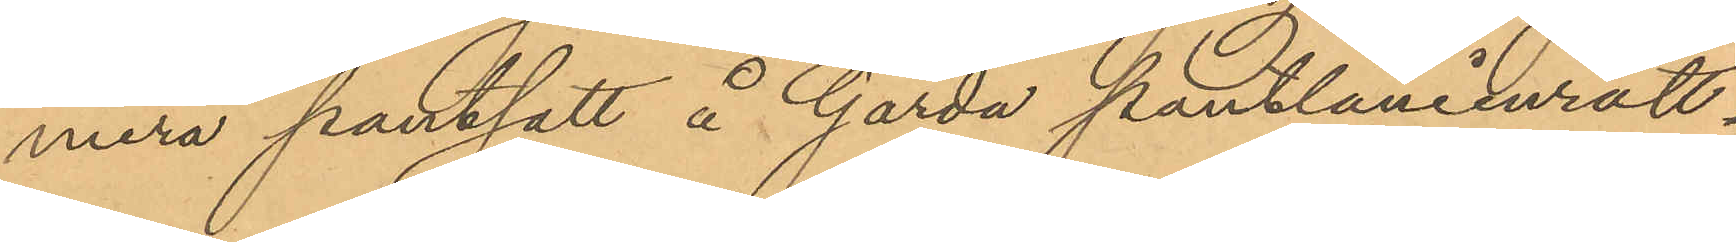mera pantsatt å Gårda pantlåneinrätt¬
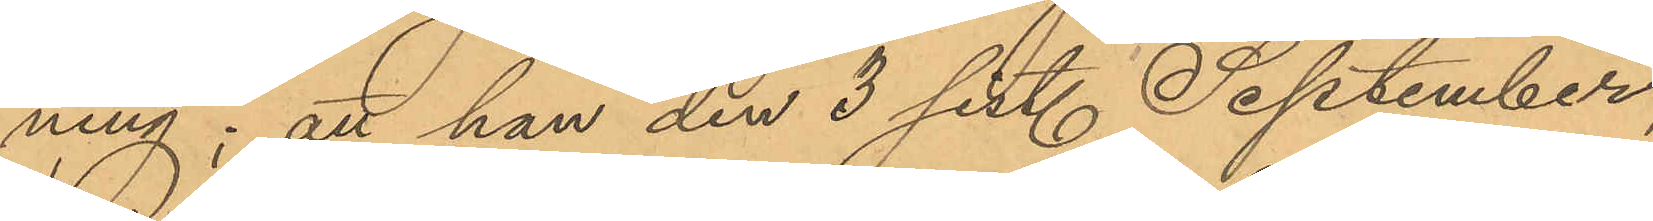ning; att han den 3 sist. September,
